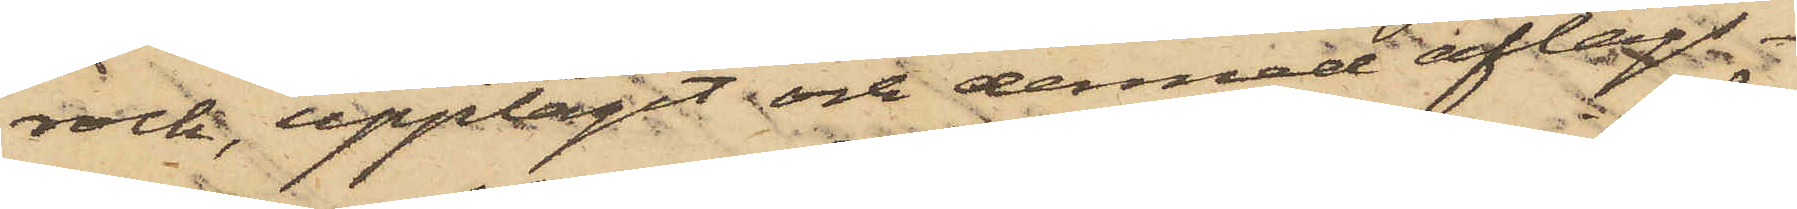rock, upptagit och dermed aflägs¬
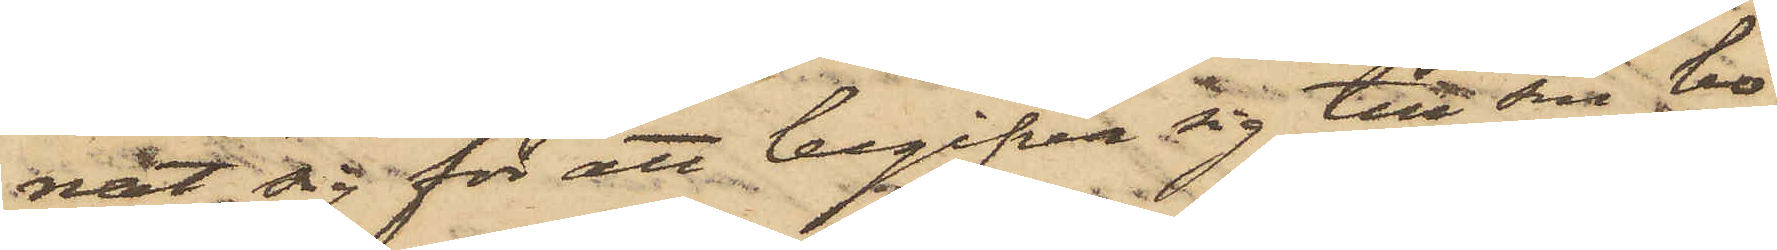nat sig för att begifva sig till sin bo¬
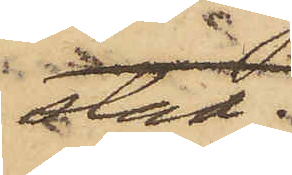stad.
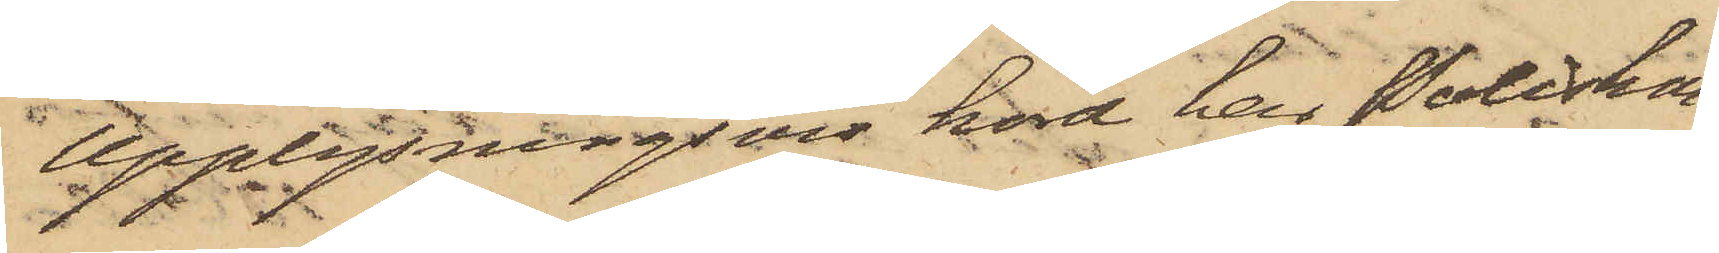Upplysningsvis hörd, har Poliskon¬
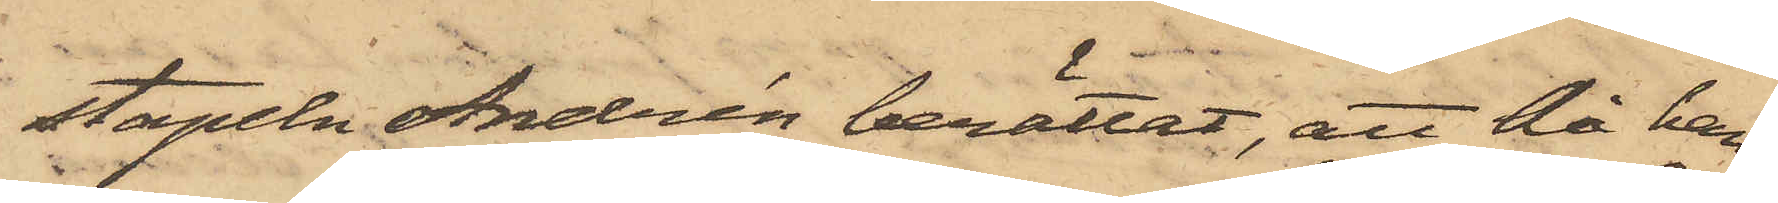stapeln Andrén berättat, att då han
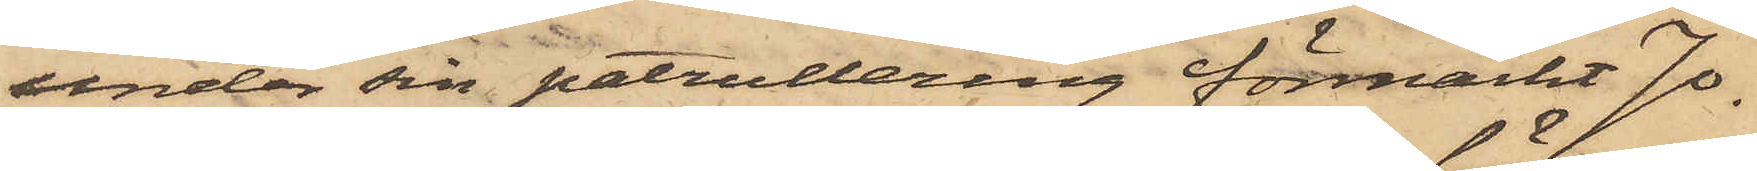under sin patrullering förmärkt Jo¬
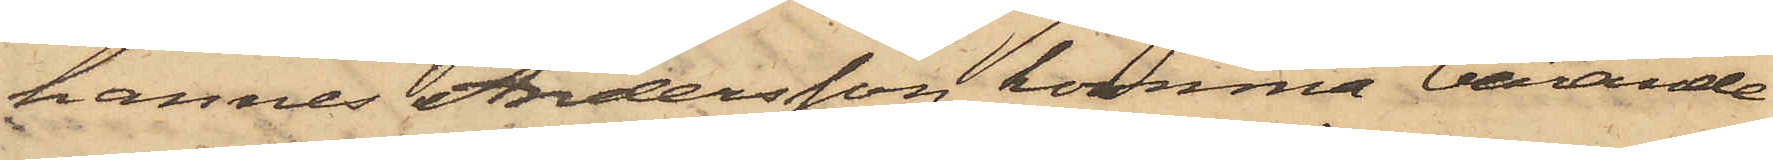hannes Andersson komma bärande
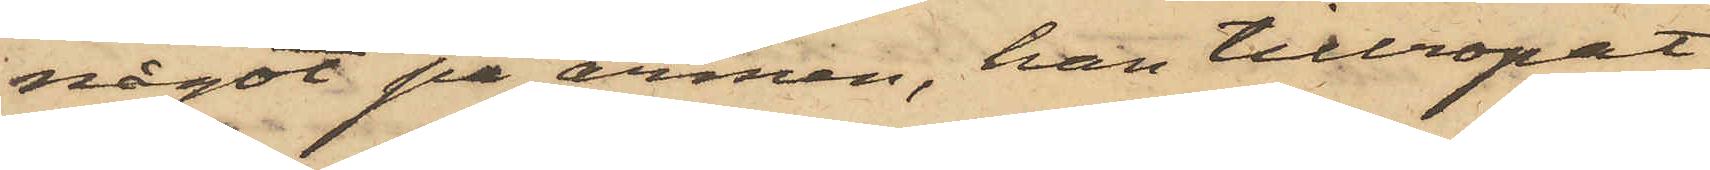något på armen, han tillropat
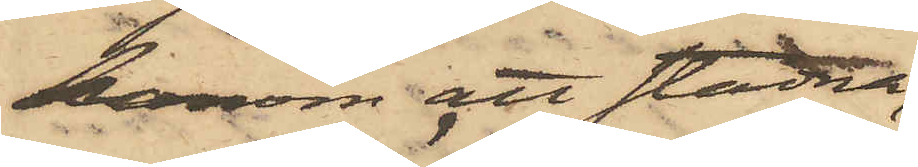honom att stadna,
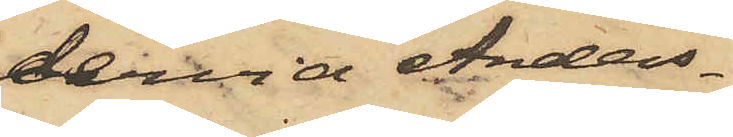dervid Anders¬
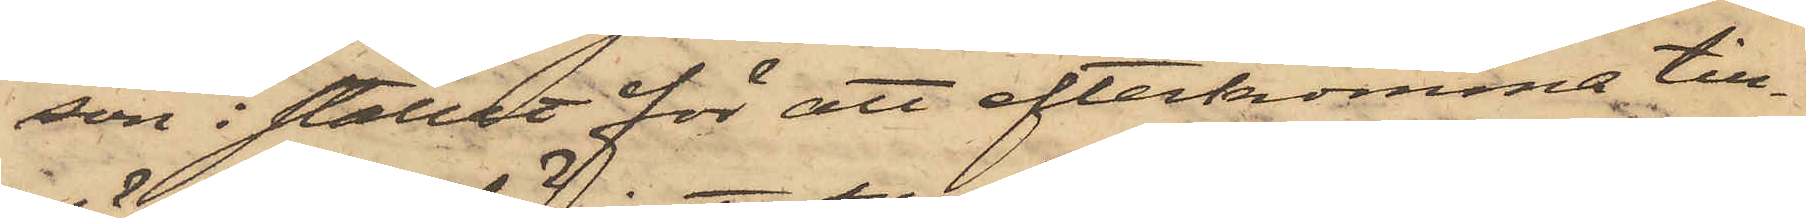son i stället för att efterkomma till¬
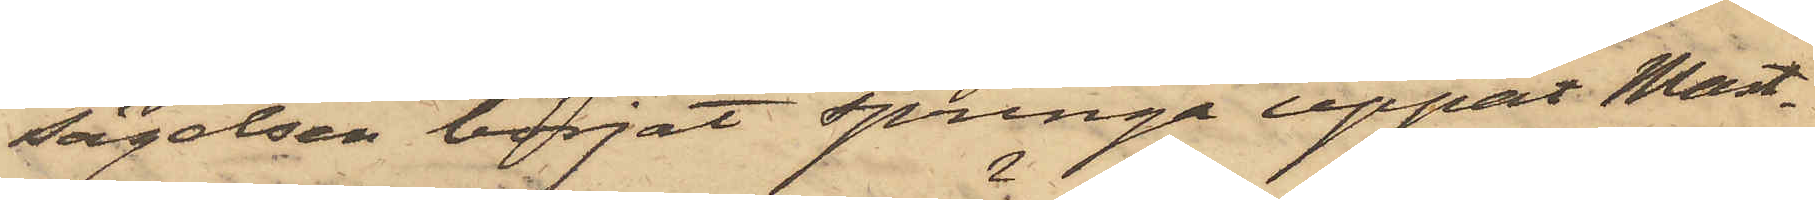sägelsen börjat springa uppåt Mast¬
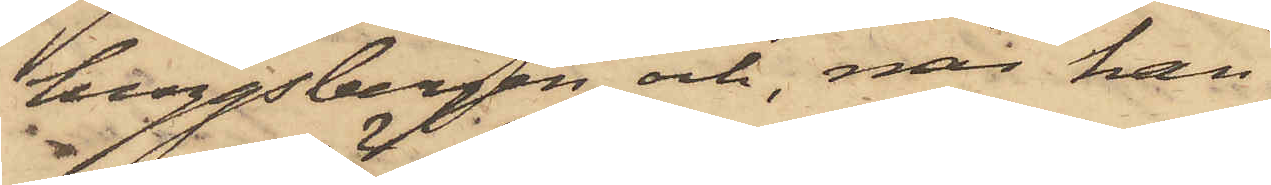huggsbergen och, när han
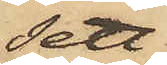sett
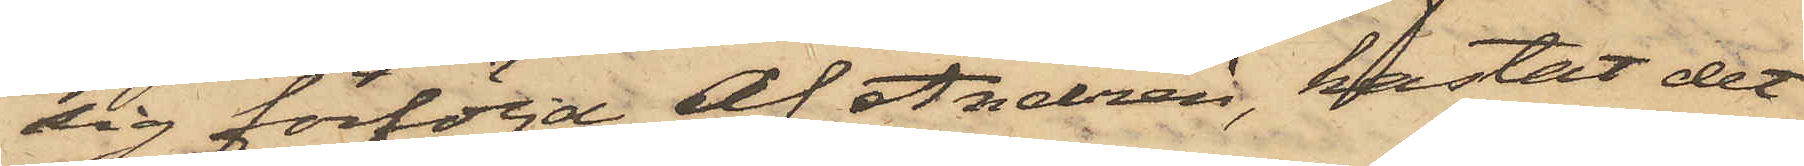sig förföljd af Andrén, kastat det
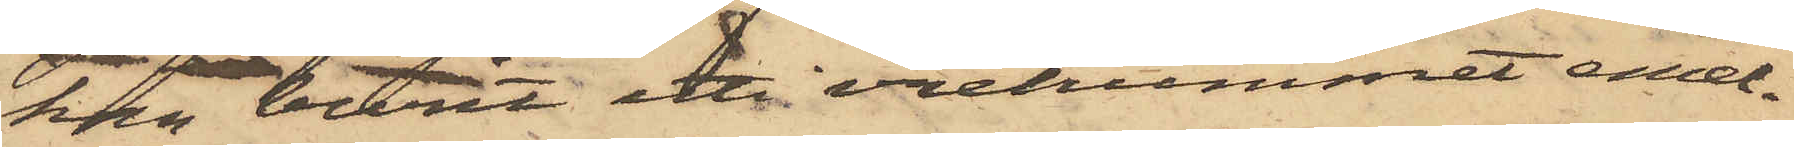han burit uti vretrummet emel¬
